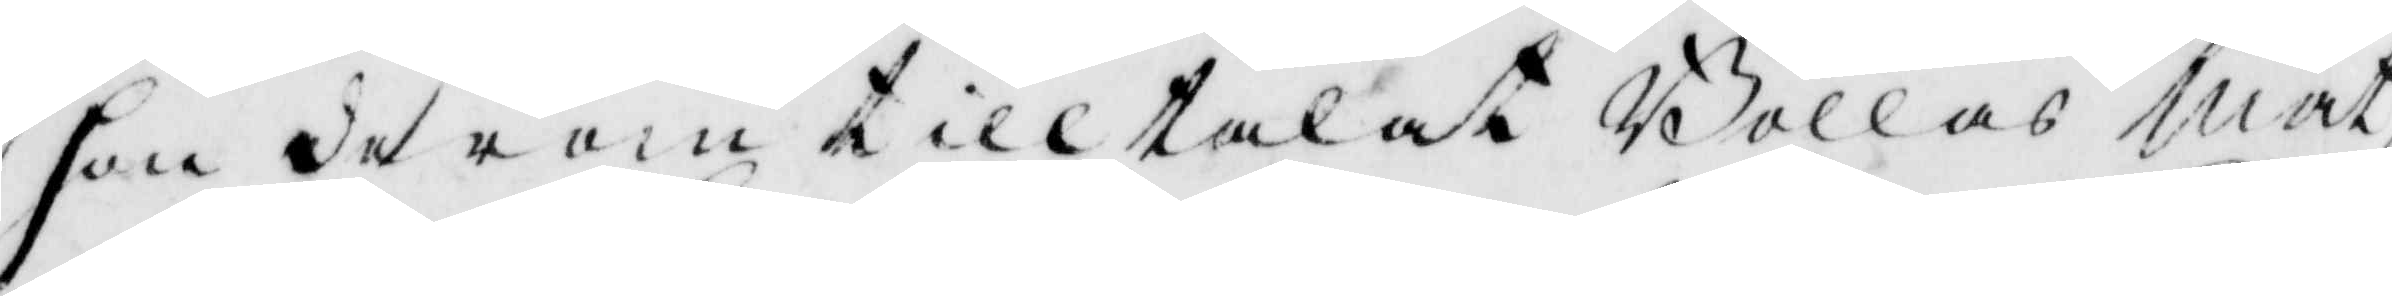hon derom tilltalat Bollas Mat¬
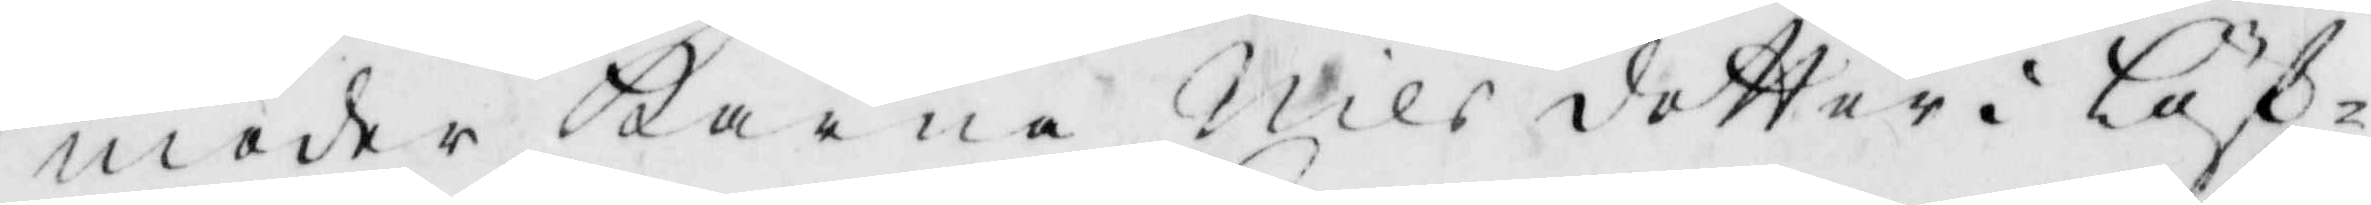moder Karna Nils dotter i Löf¬
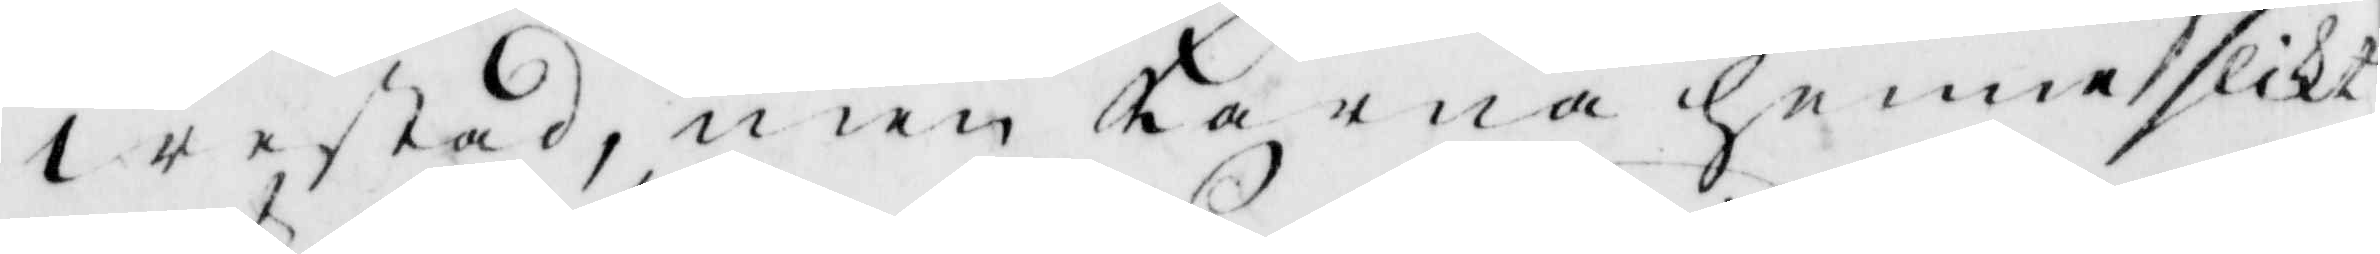westad, men Karna henne slikt
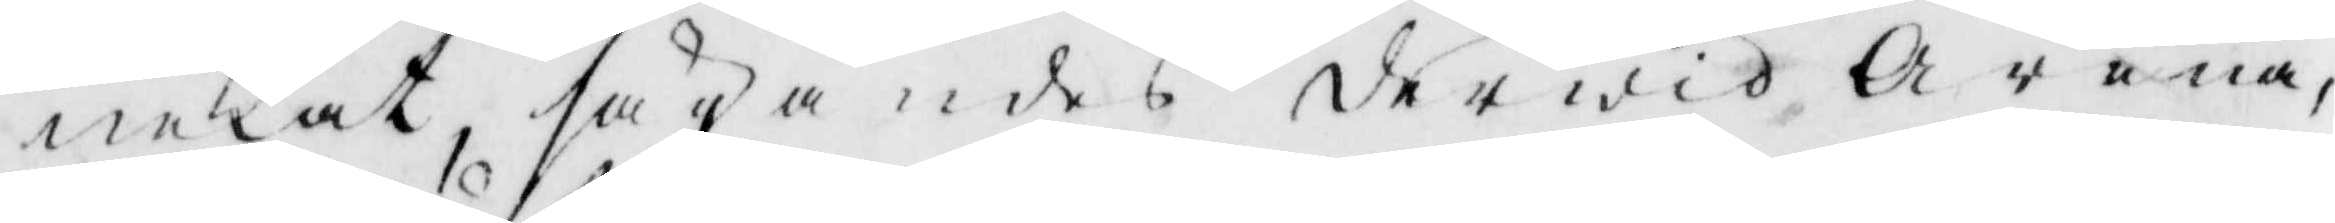nekat, sägandes derwid Arena
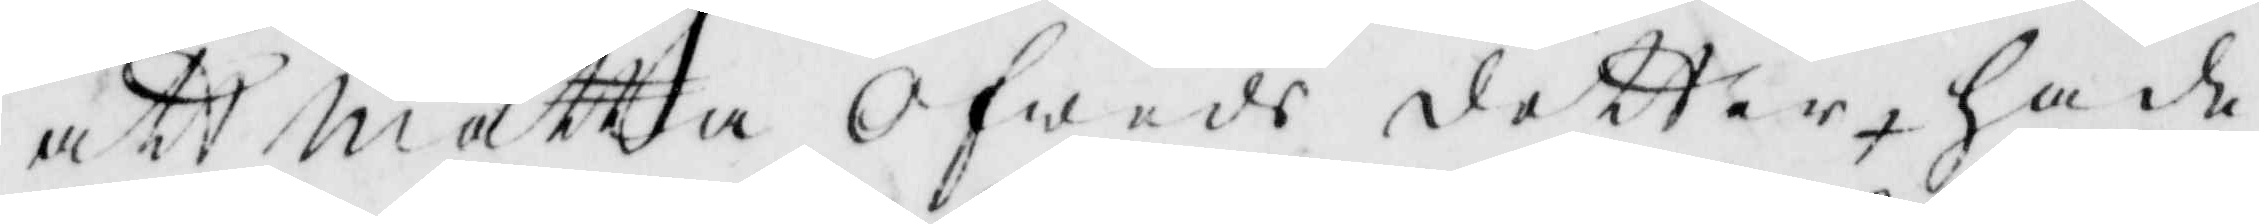att Nätta Ofwes dotter, hade
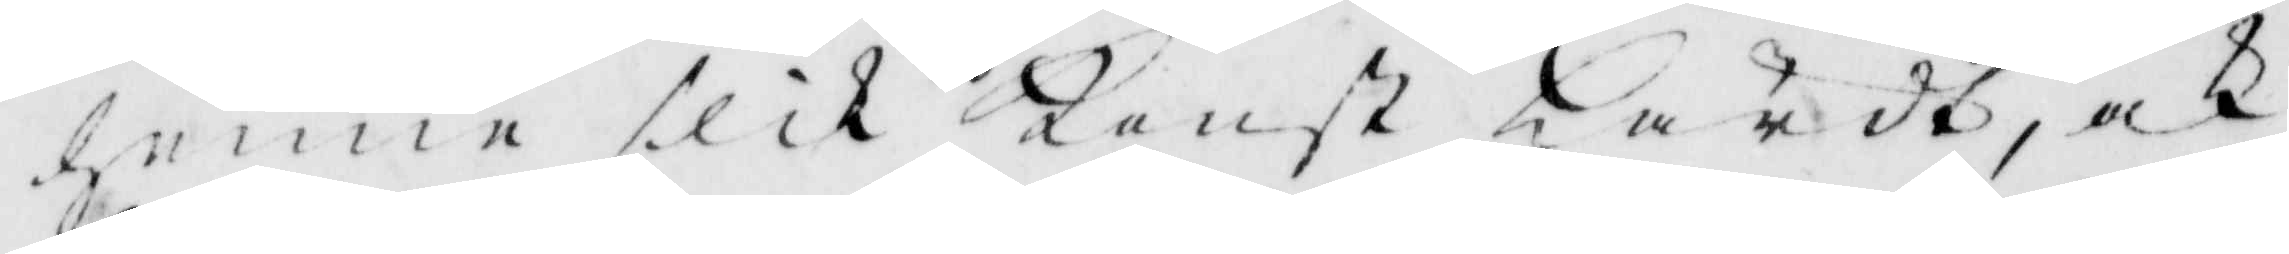henne slik Konst Hördt, och
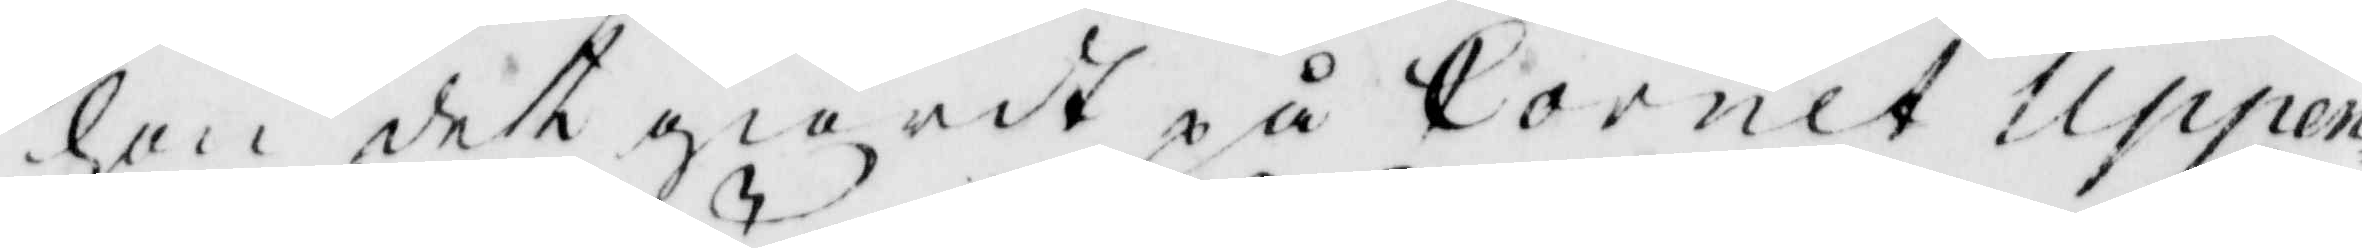hon det giordt på Cornet Uppen¬
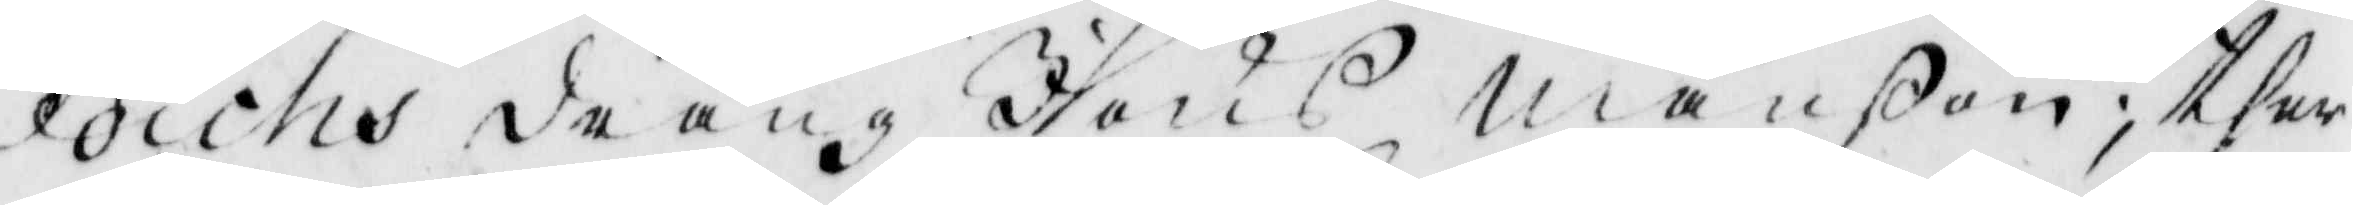dichs dräng Jöns Månßon; ther¬
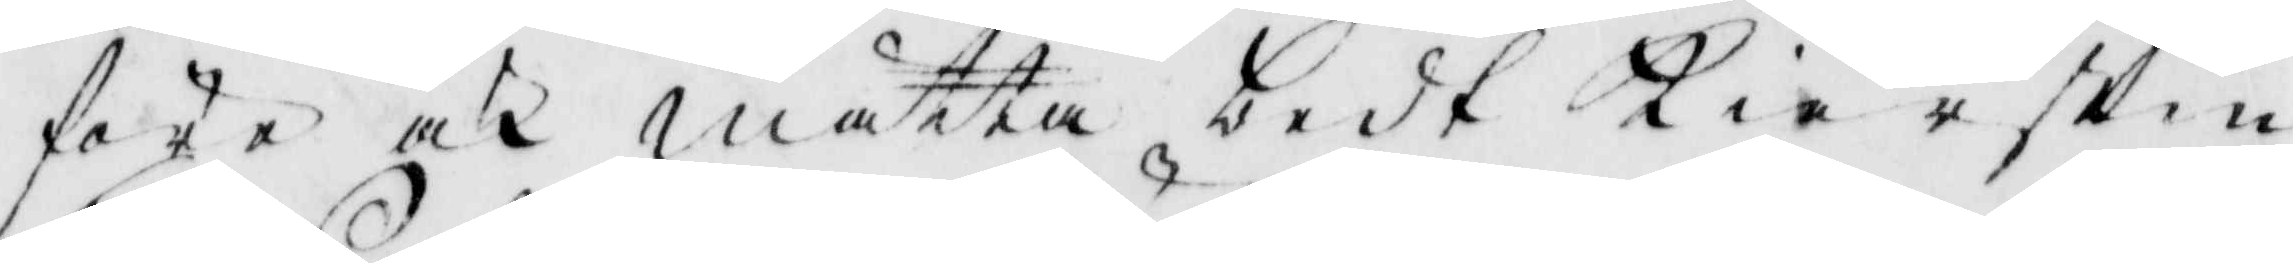före och Mätta bedt Kierstin
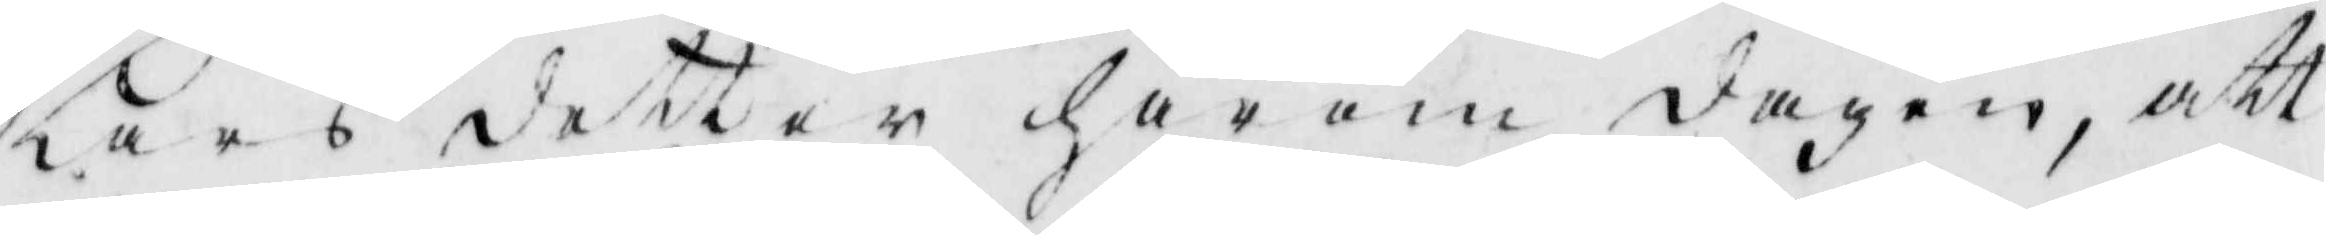Lars dotter härom dagen, att
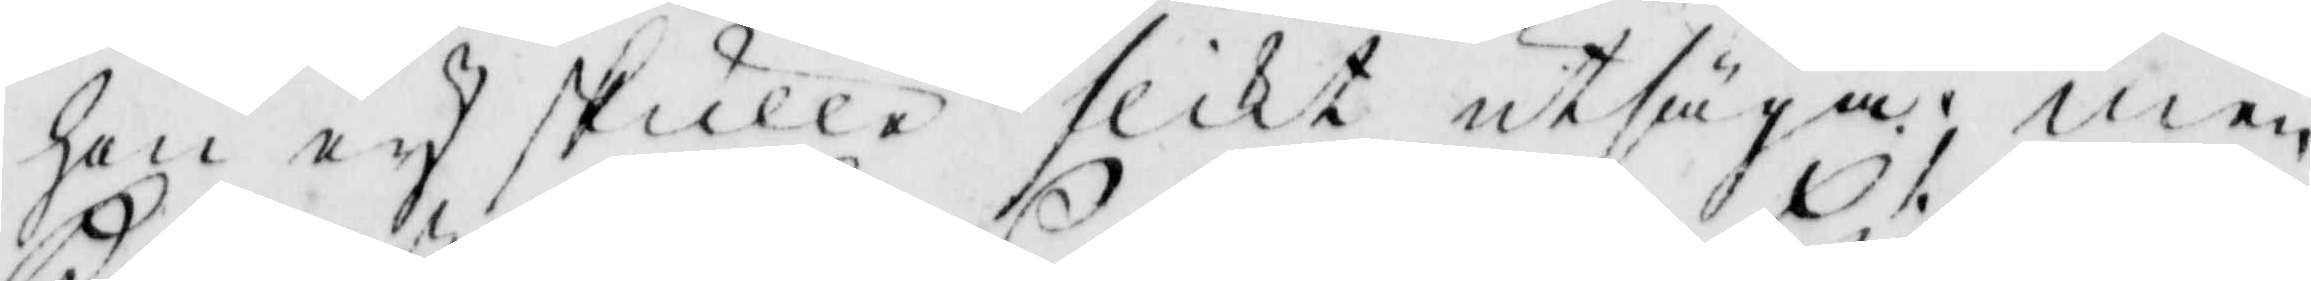hon ey skulle slikt atsäga; men
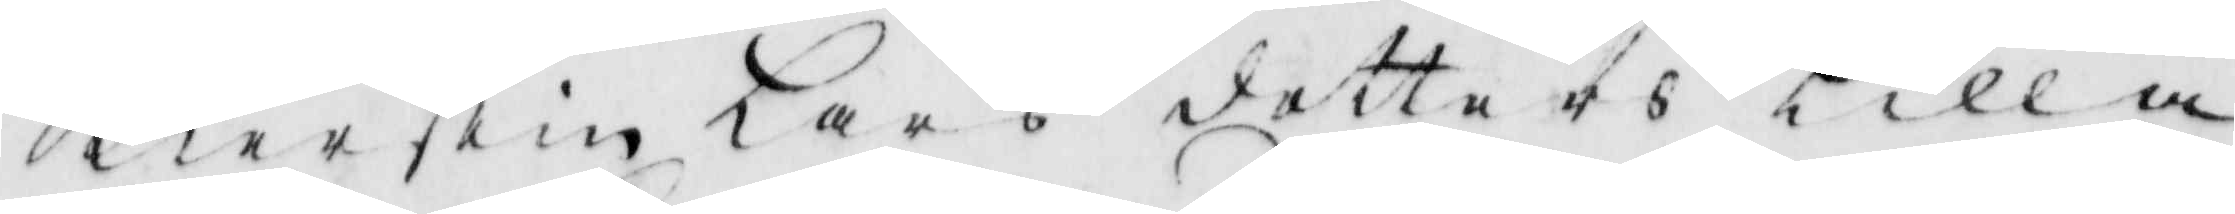Kierstin lars dotters Lilla
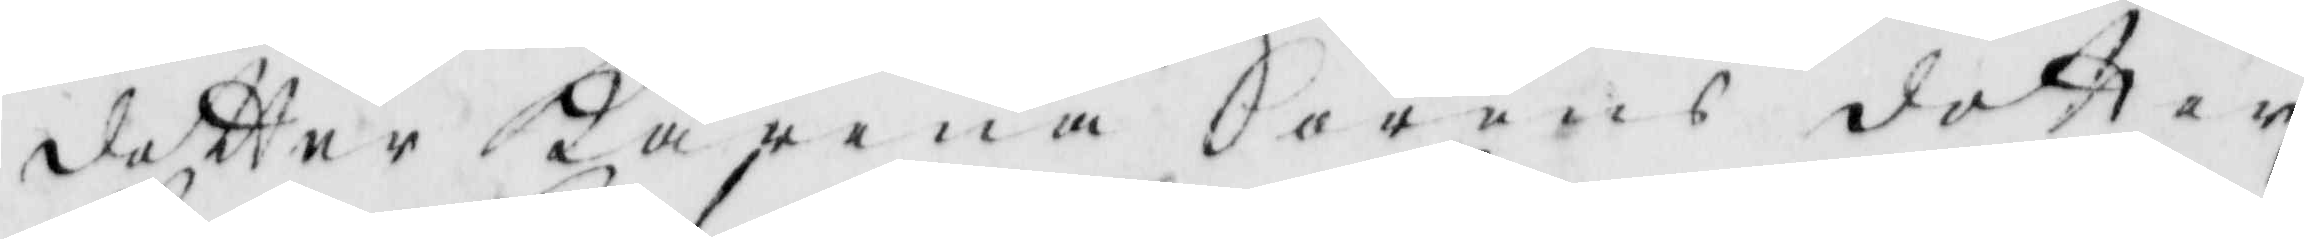dotter Karena Sörens dotter
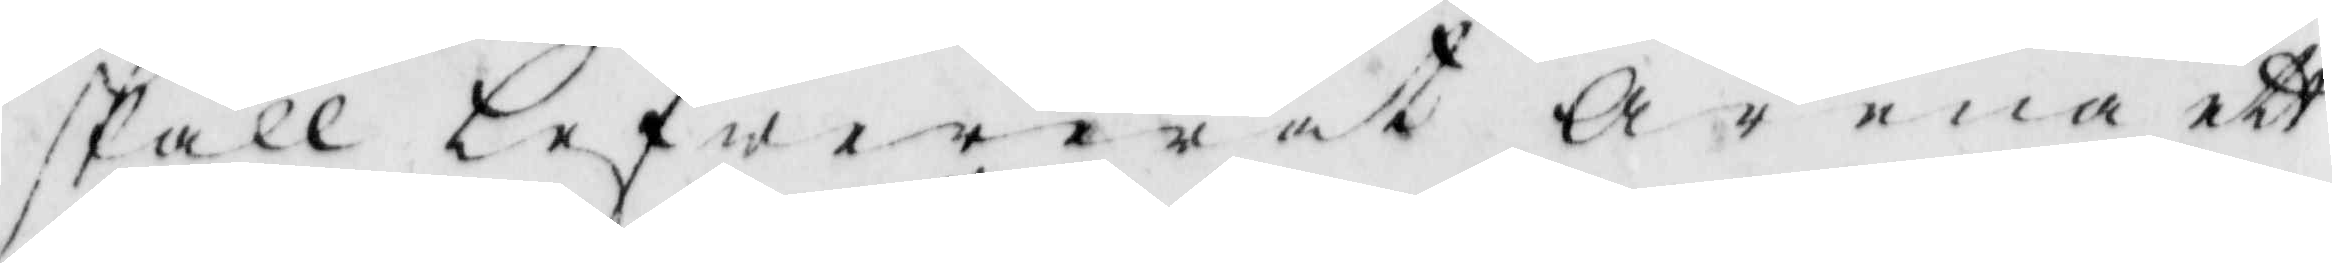skall lefwererat Arena ett
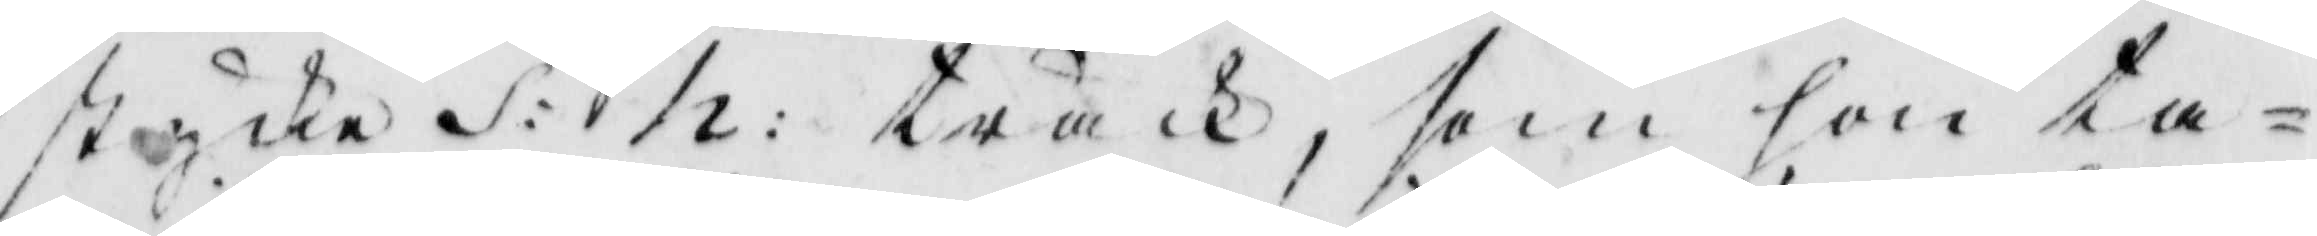stycke S: h: träck, som hon ta¬
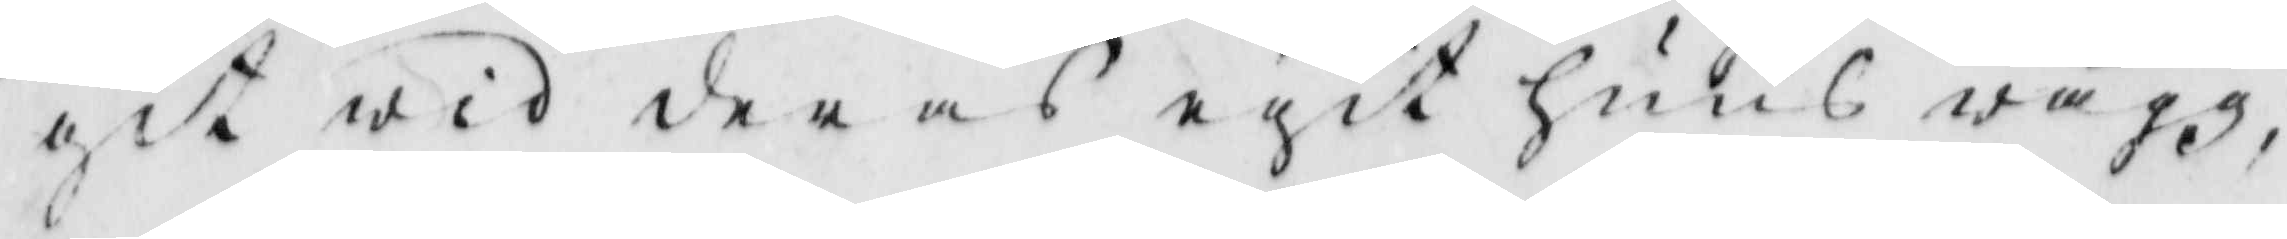git wid deras efit huus wägz
